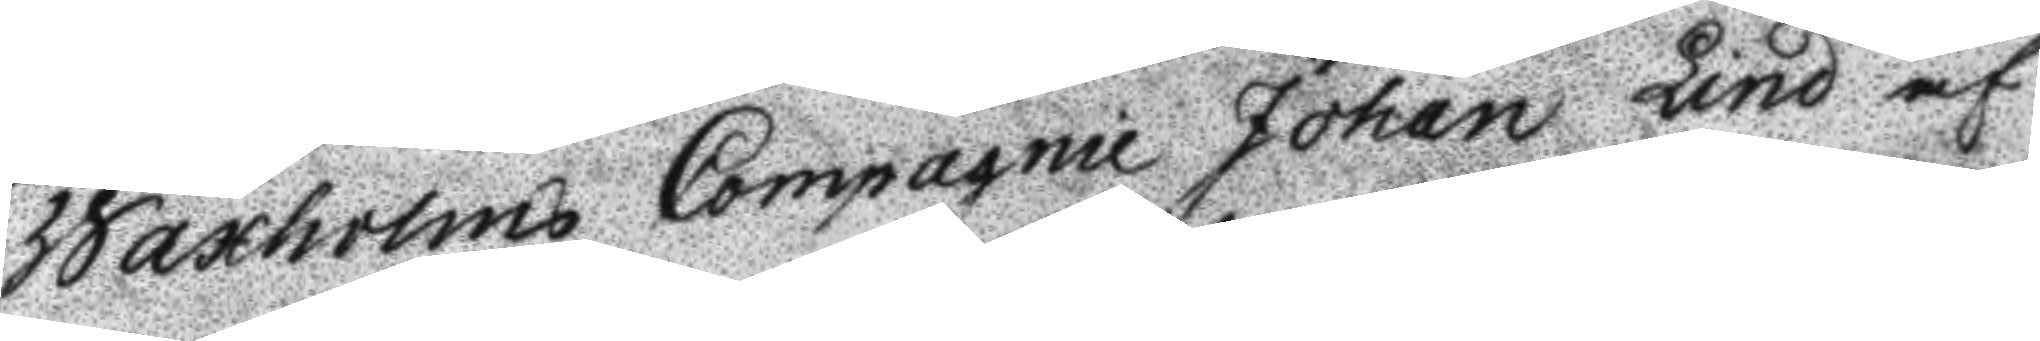Waxholms Compagnie Johan Lind af
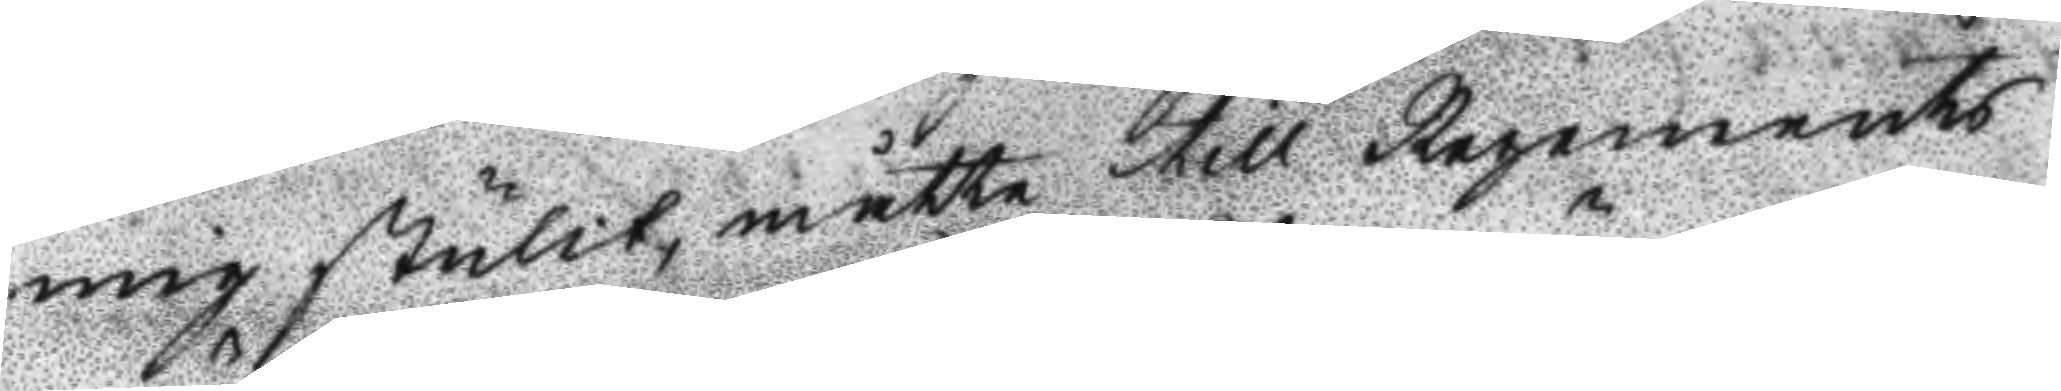mig stulit, måtte till Regements
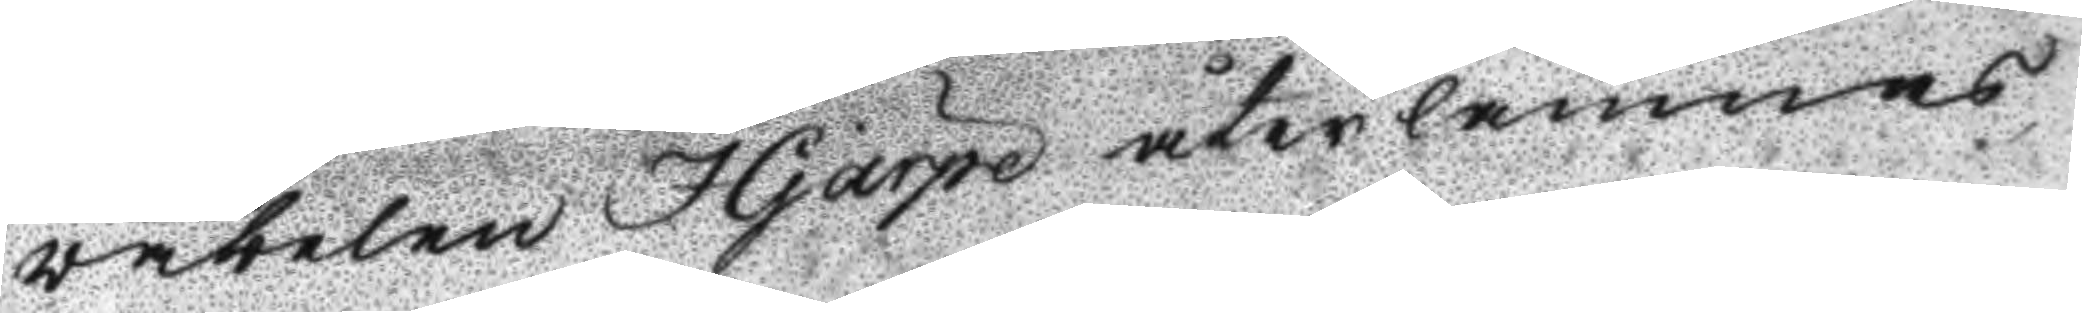väbelen Hjärpe återlämnas,
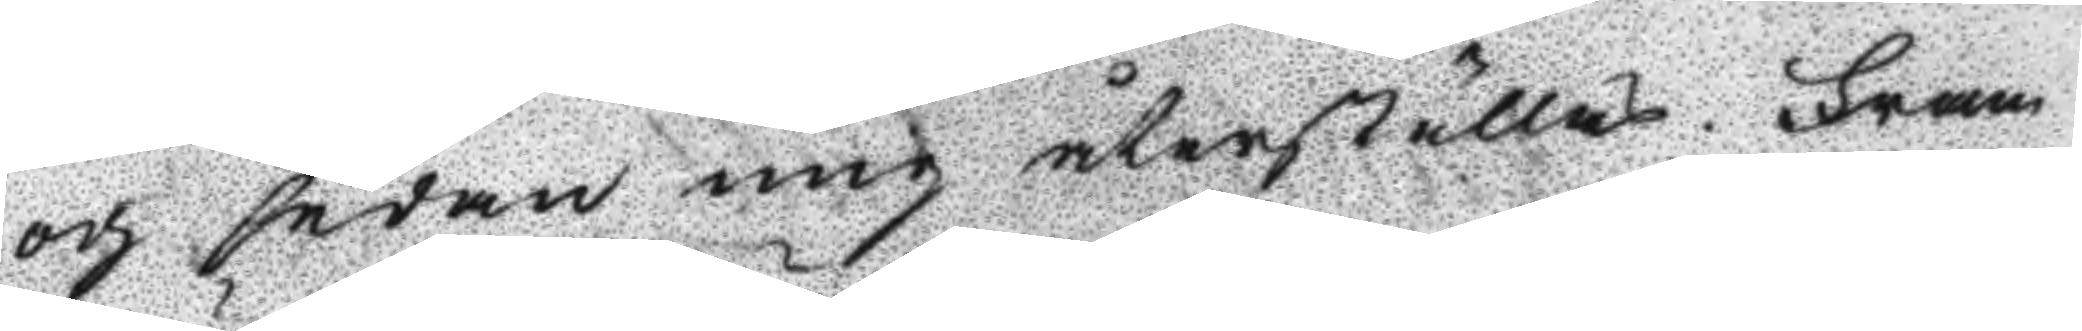och sedan mig återställas. Fram
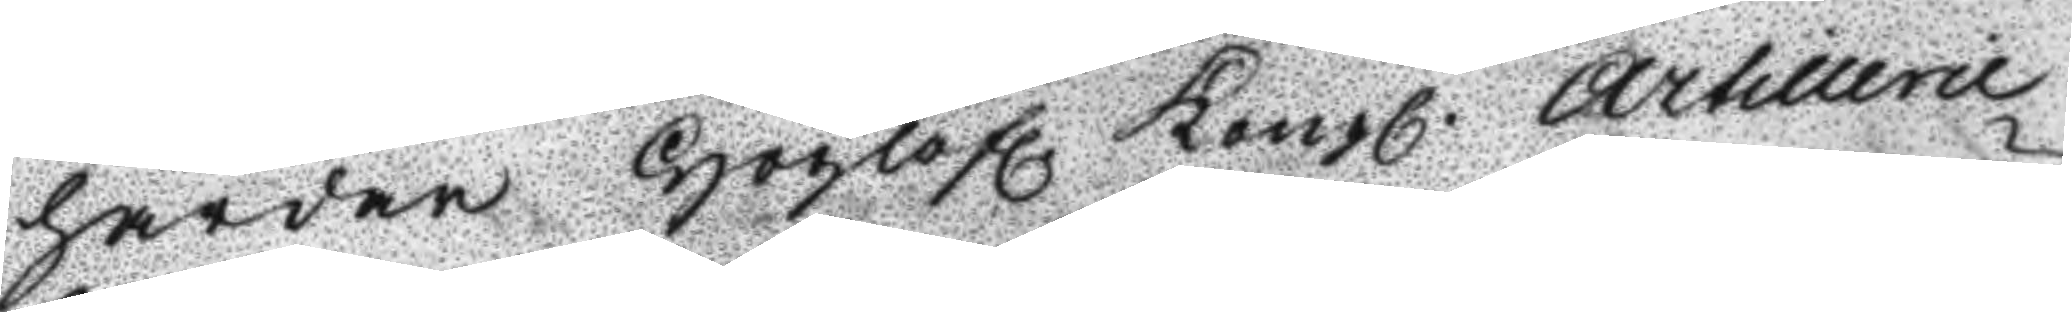härdar Höglofl. Kongl. Artillerie
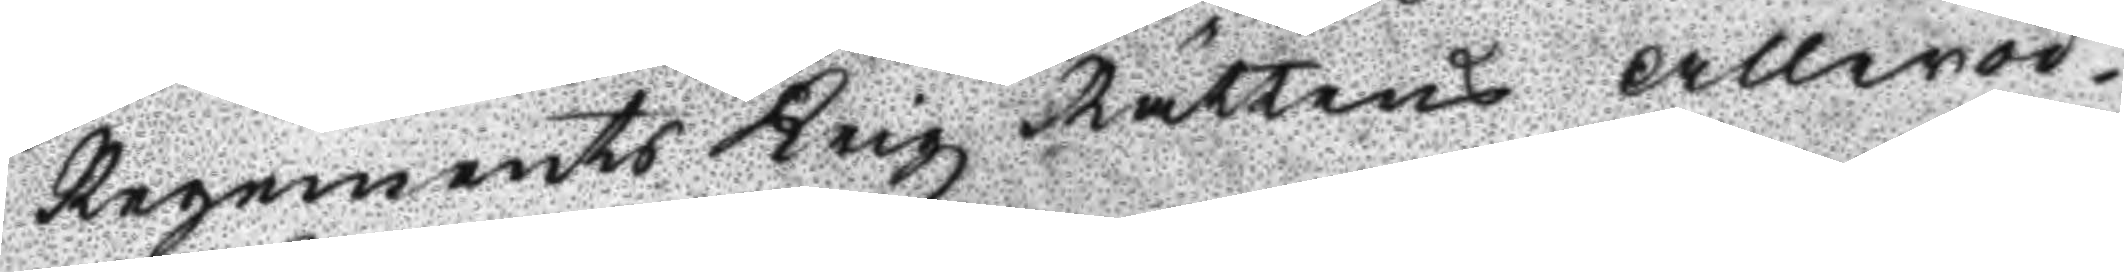Regements Krigz Rättens Alleröd¬
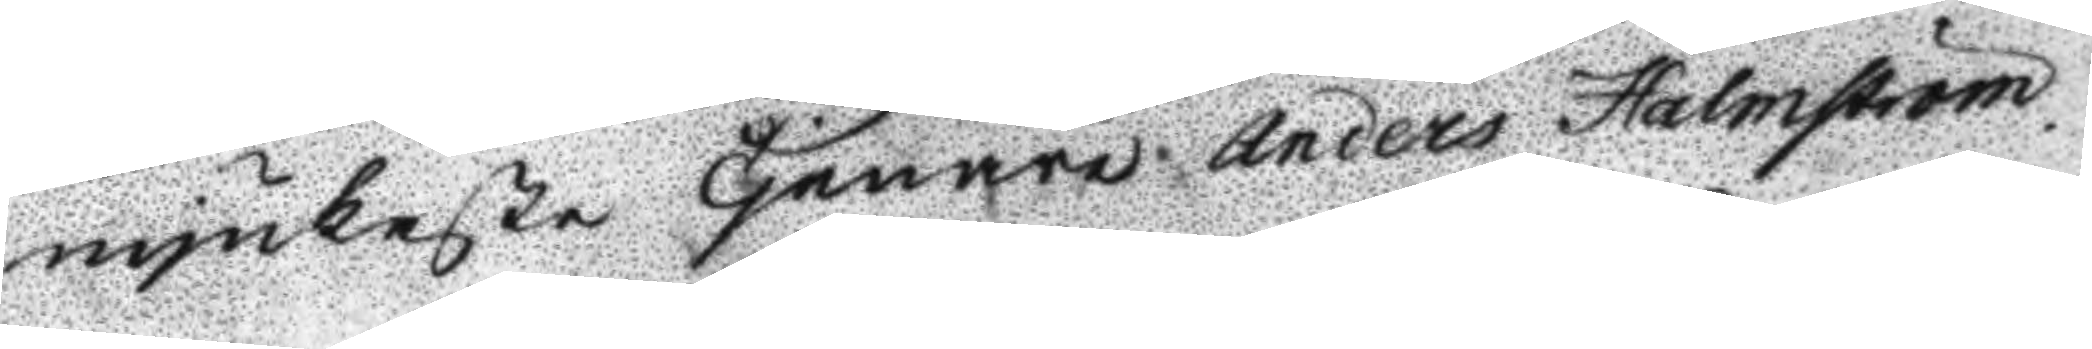mjukaste Tjenare. Anders Holmström.
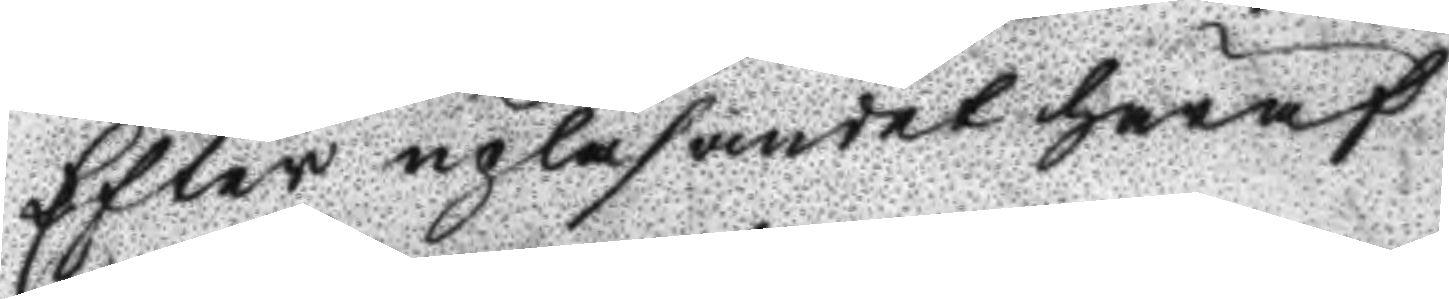Efter upläsandet häraf
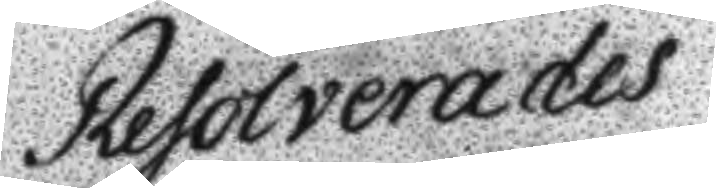Resolverades
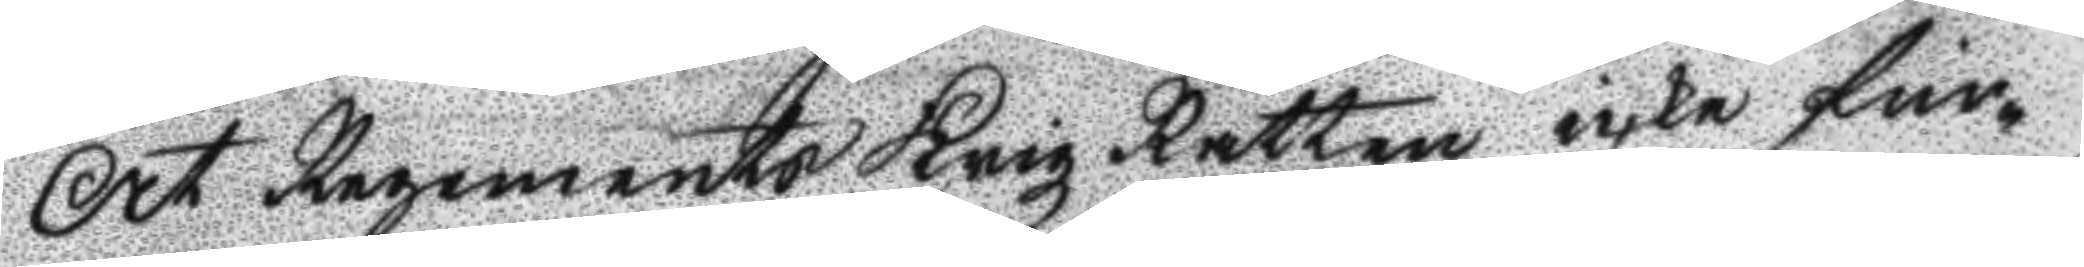At Regements Krigz Rätten icke fin¬
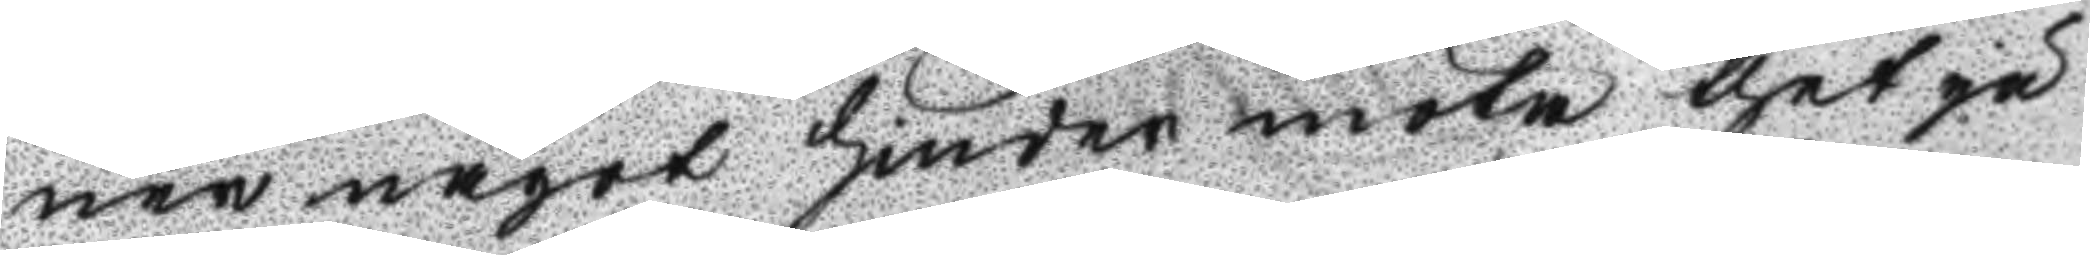ner något hinder möta thet på
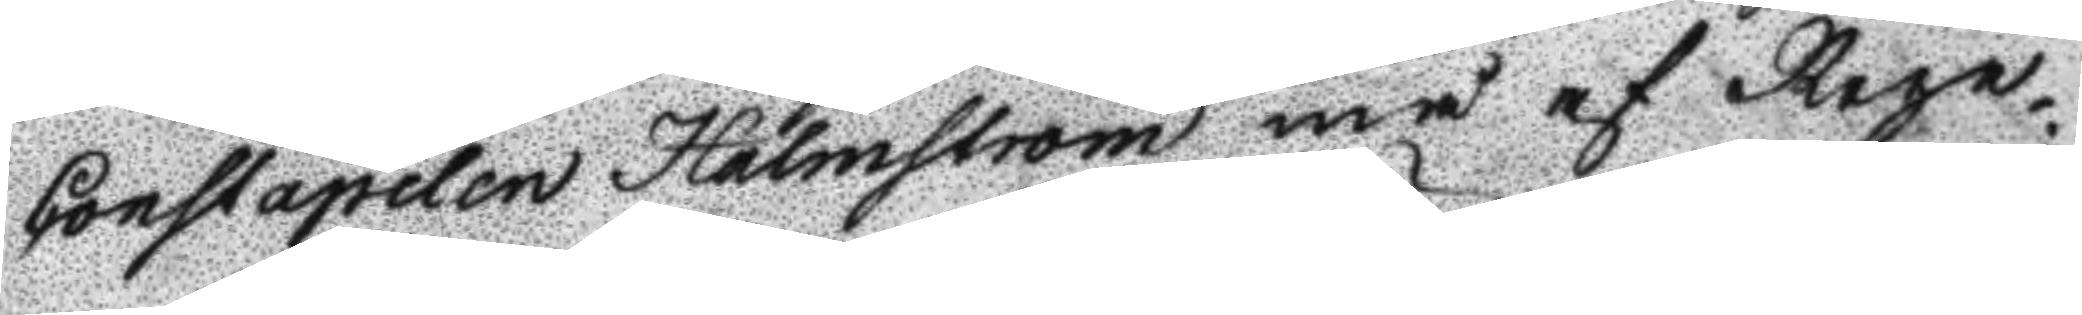Constapelen Holmström må af Rege¬
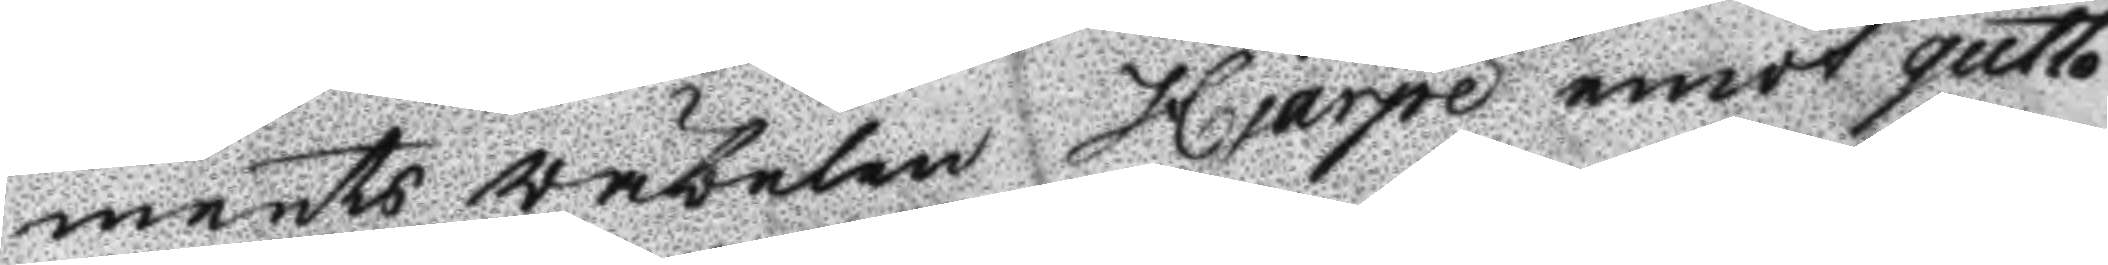ments väbelen Hjärpe emot quitto
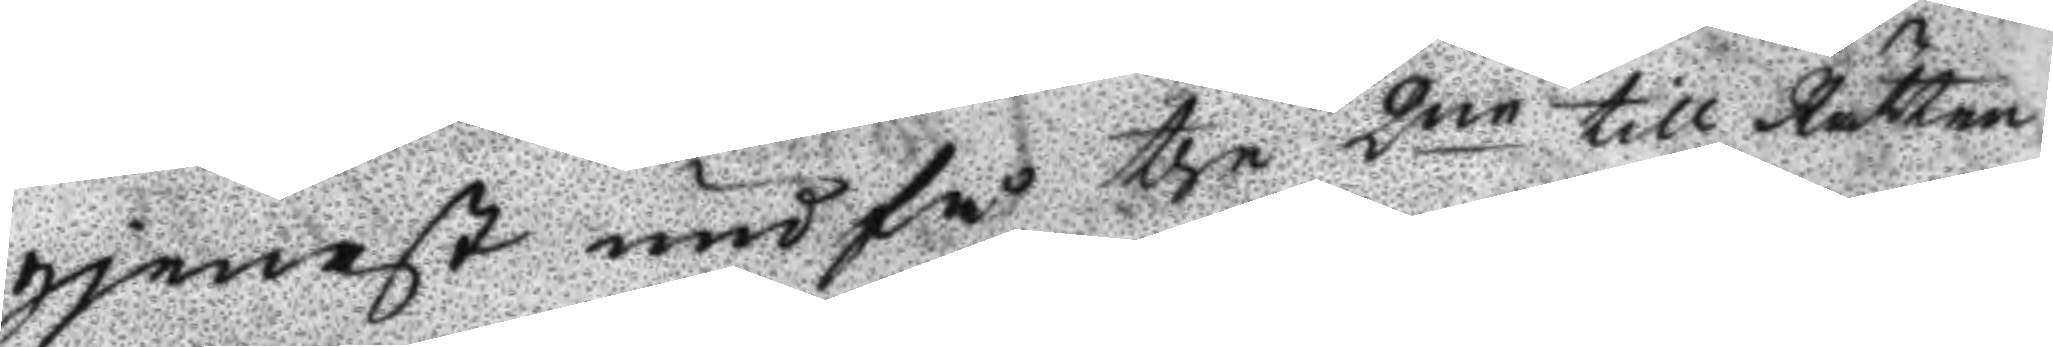gjenast undfå the 2ne till Rätten
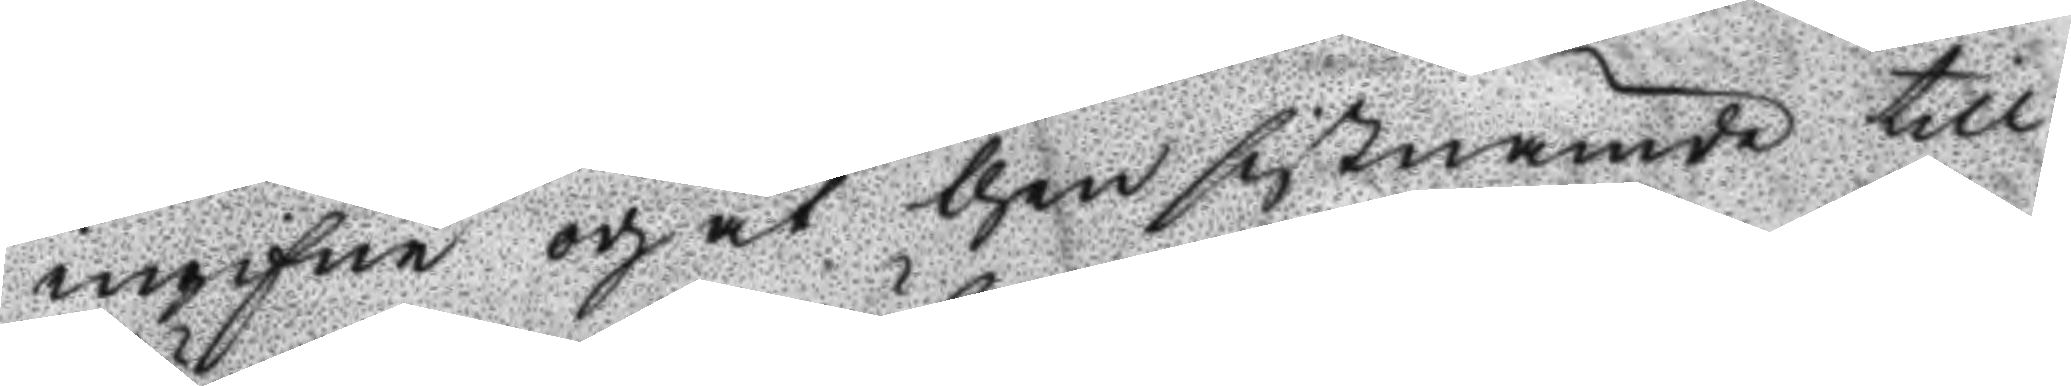ingifne och åt then sistnämde till
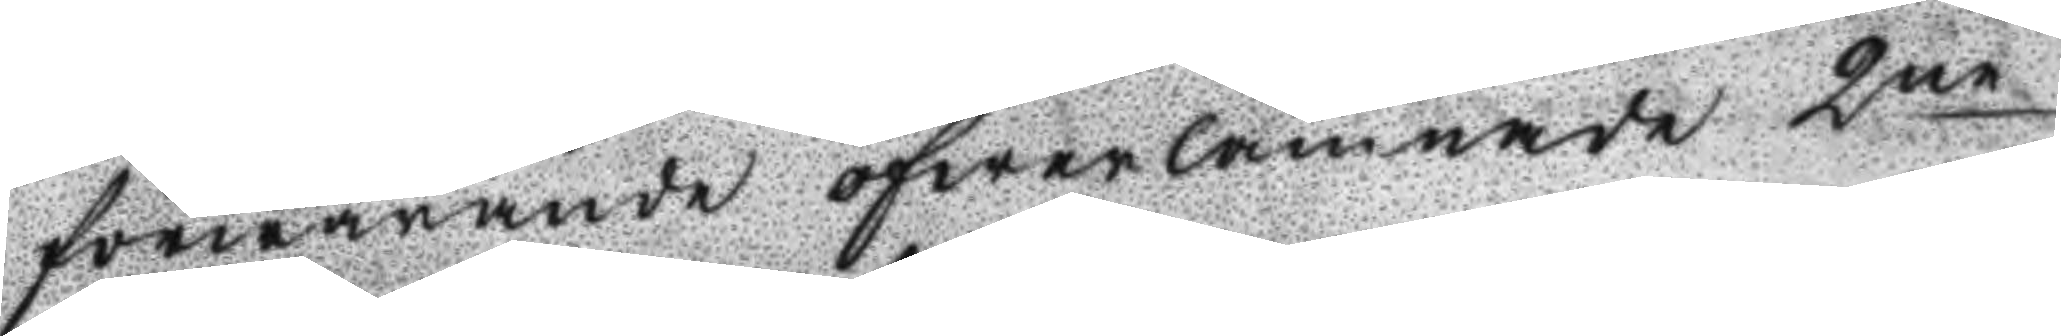förwarande öfwerlämnade 2ne
